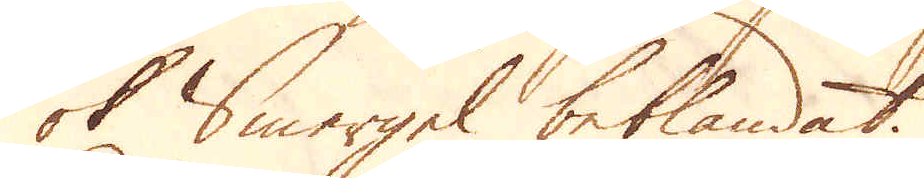ok Smergel beblandat.
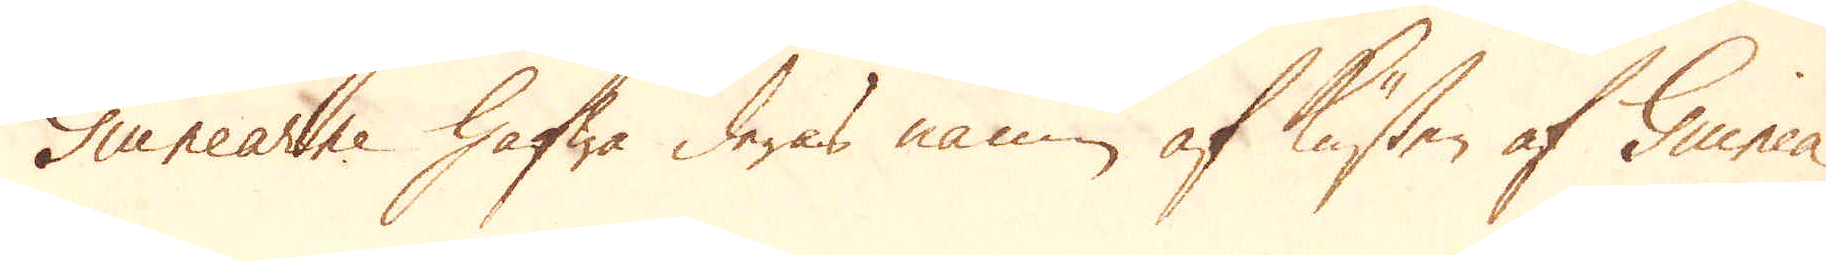Guinearne hafwa deras namn af Kusten af Guinea
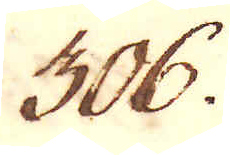306.
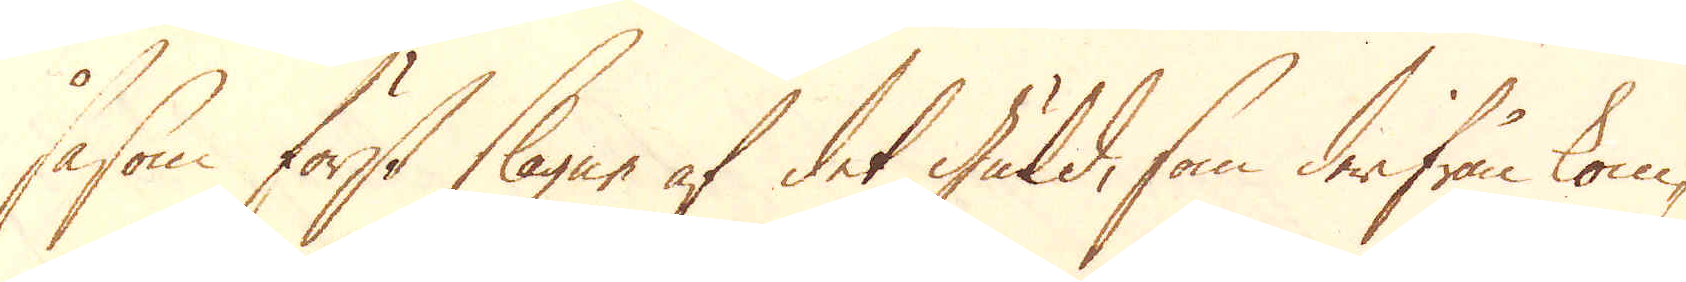såsom först slagne af det guld, som derifrån kom-
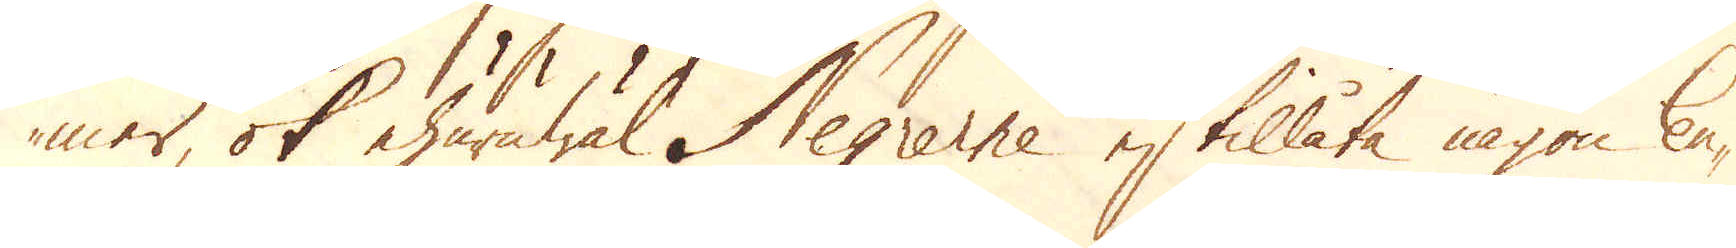mer, ok ehuruwäl Negrerne ej tillåta någon Eu-
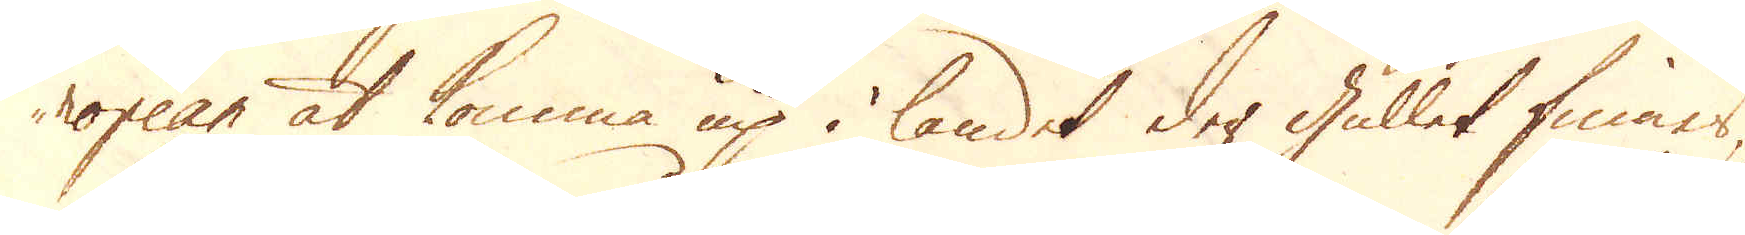ropean at komma up i landet der gullet finnes,
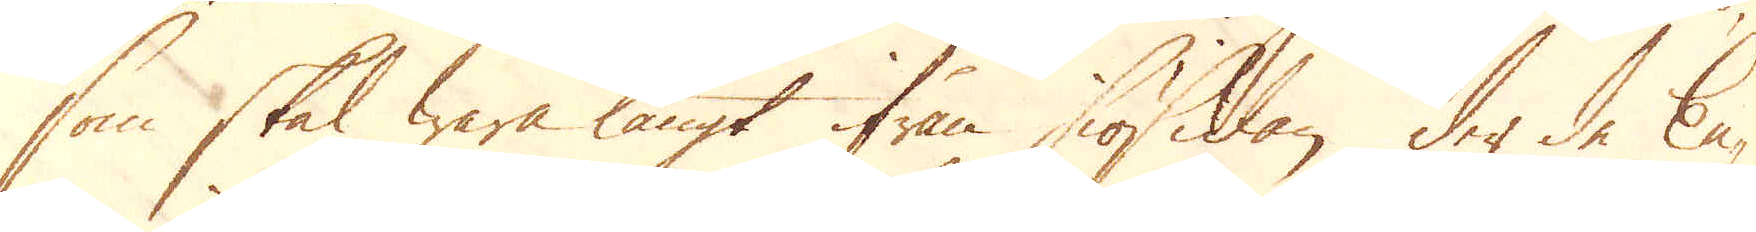som skal wara långt ifrån siösidan der de Eu-
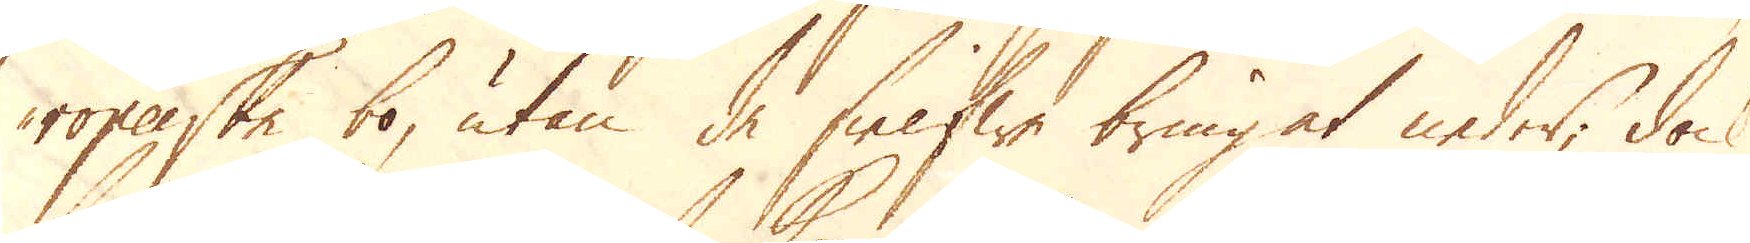ropeiske bo, utan de sielfwe bringat neder, dock
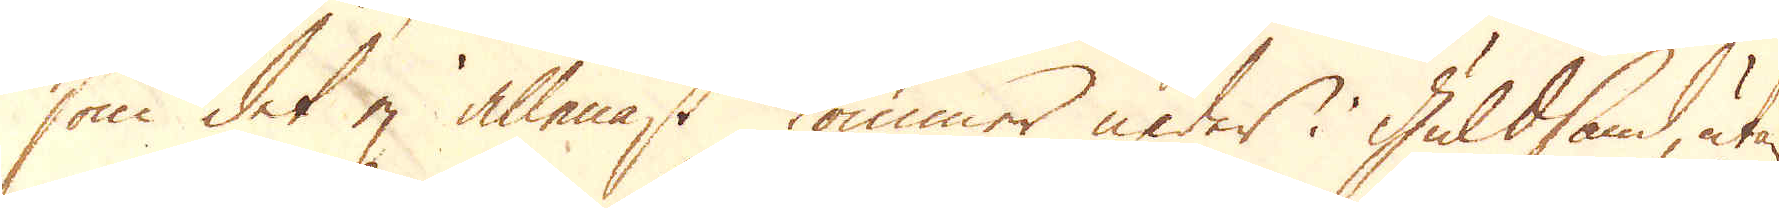som det ej allenast kommer neder i Guldsand, utan
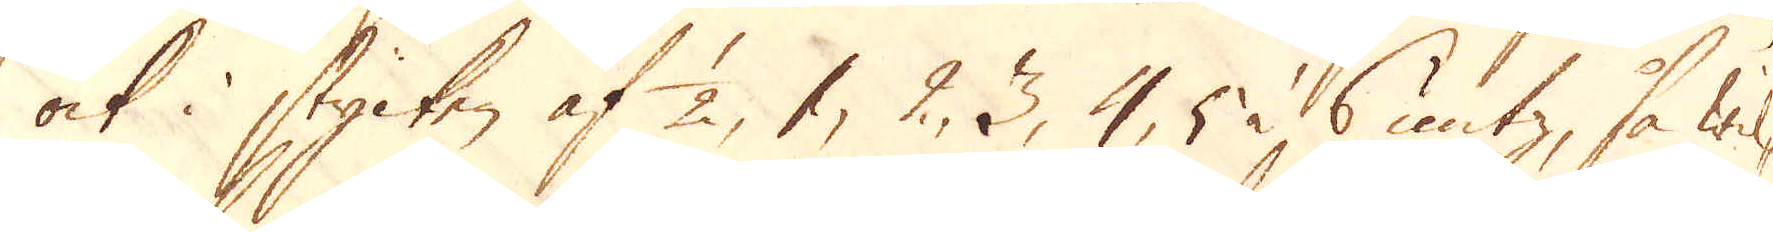ock i stycken af 1/2, 1, 2, 3, 4, 5 à 6 untz, så wil-
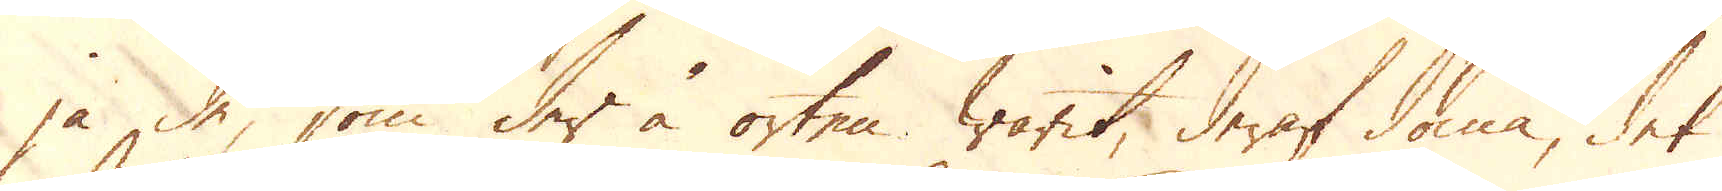ja de, som der å orten warit, deraf döma, det
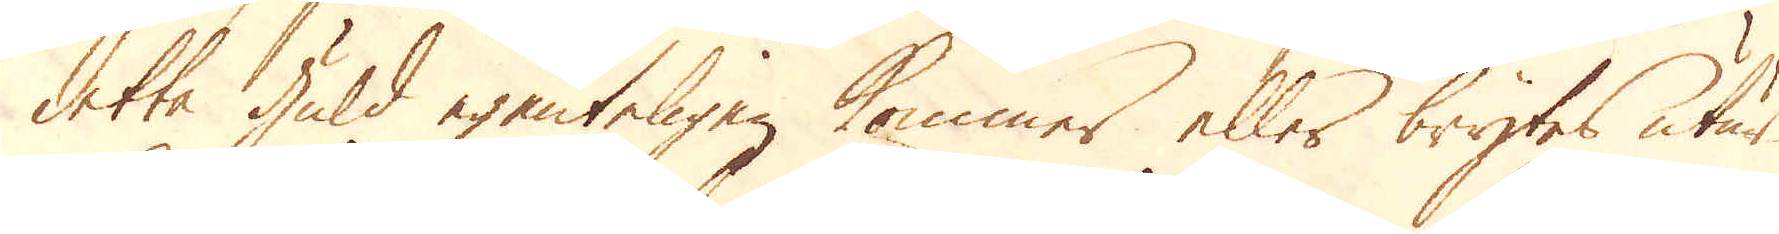detta guld egenteligen kommer eller brytes utur
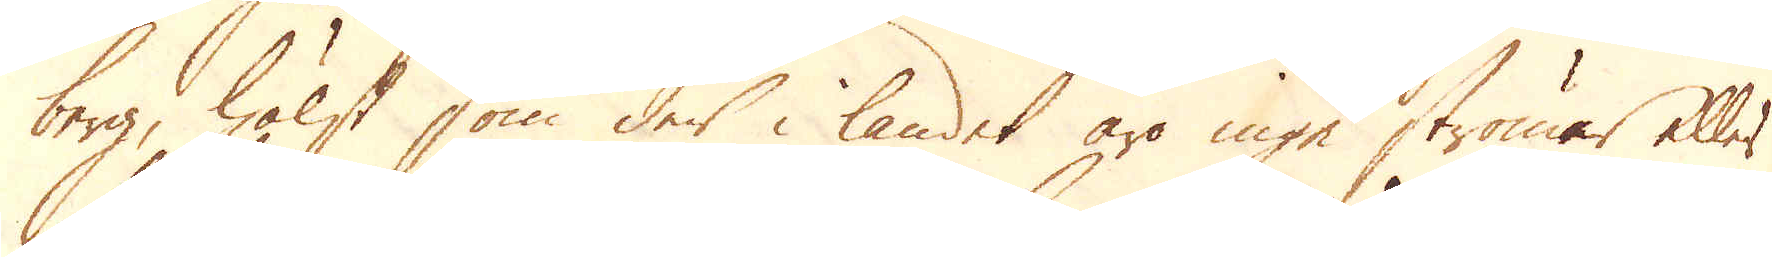berg, hälst som der i landet äro inge strömer eller
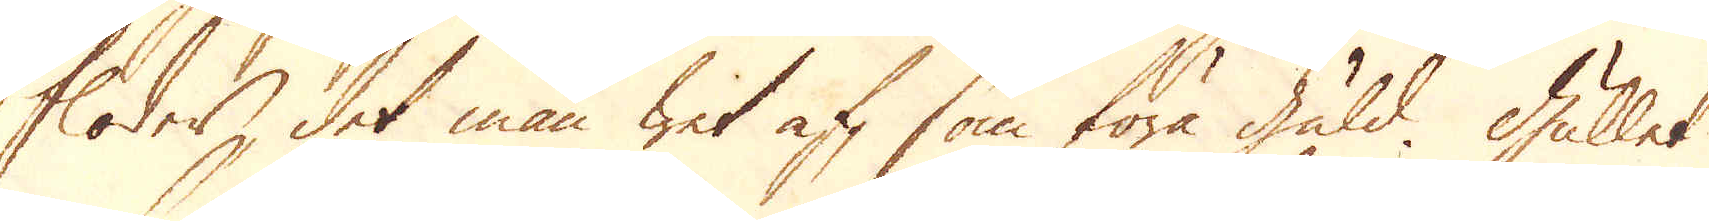floder, det man wit af, som föra guld. Gullet
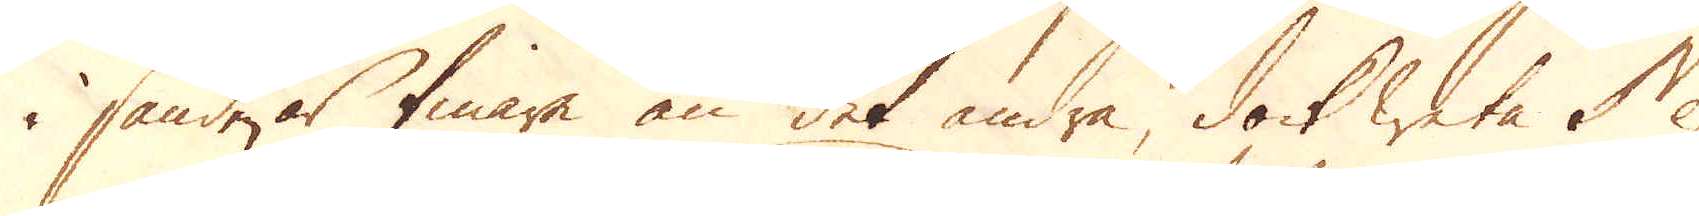i sand är finare än det andra, dock weta Ne-
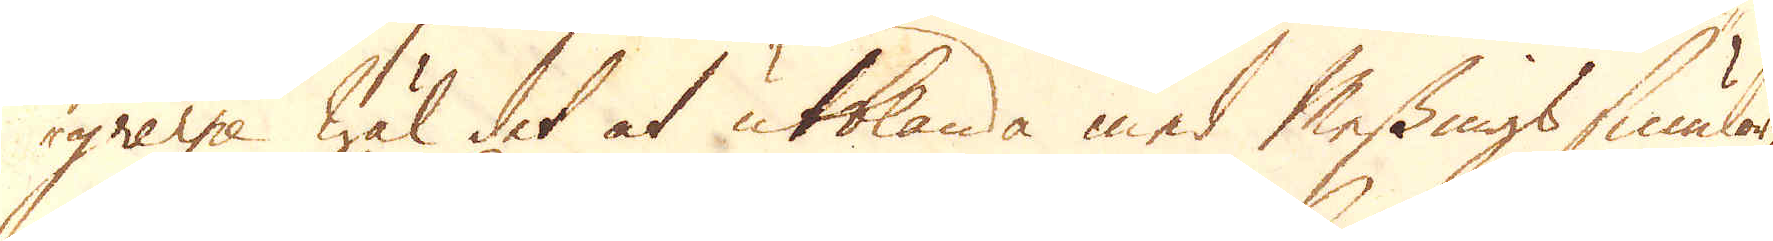grerne wäl det at utblanda med Messingssmulor,
